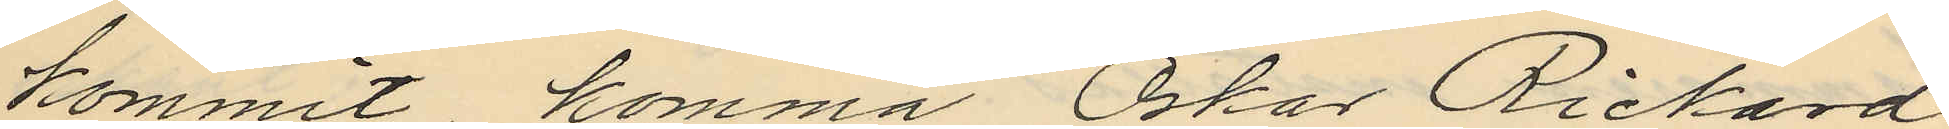kommit komma Oskar Rickard
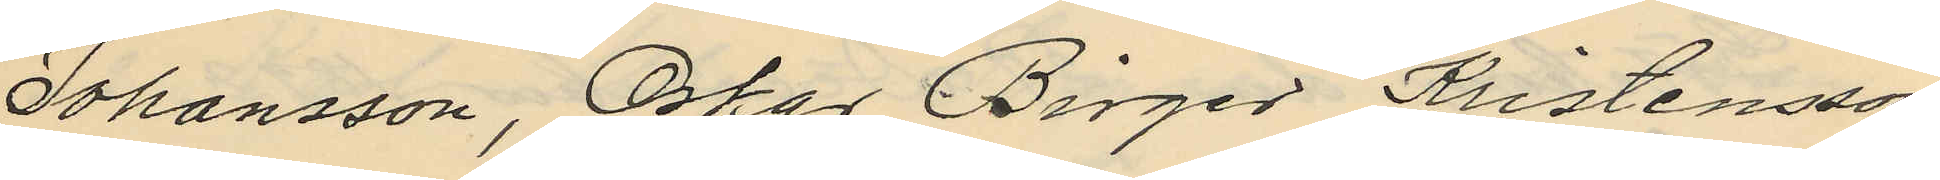Johansson, Oskar Birger Kristensson
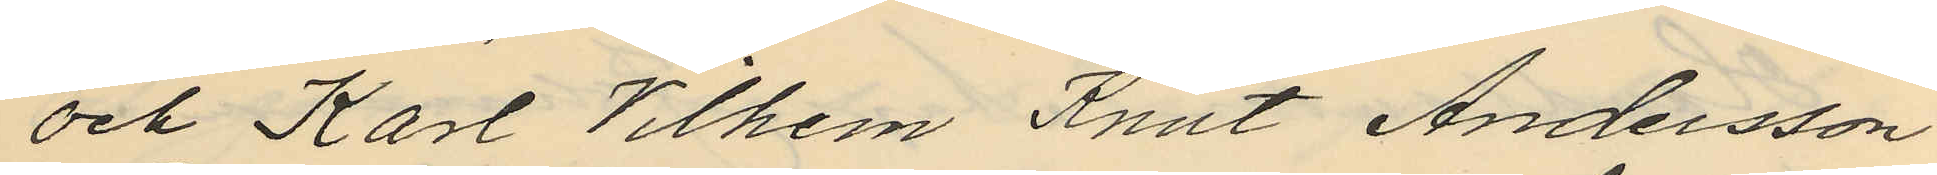och Karl Vilhem Knut Andersson
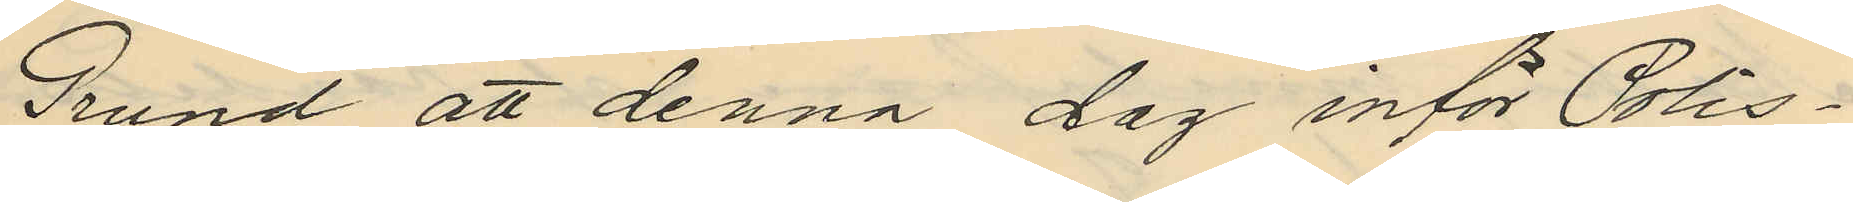Grund att denna dag inför Polis¬
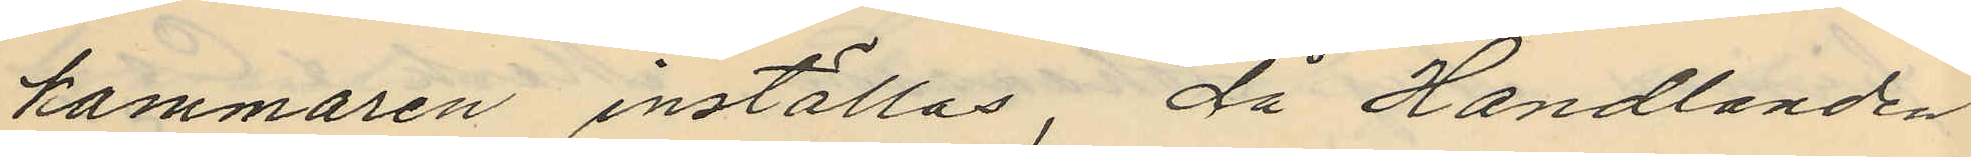kammaren inställas, då Handlanden
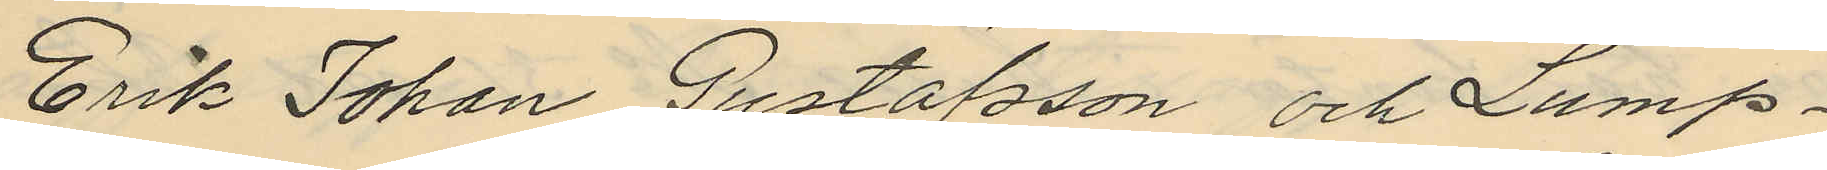Erik Johan Gustafsson och Lump¬
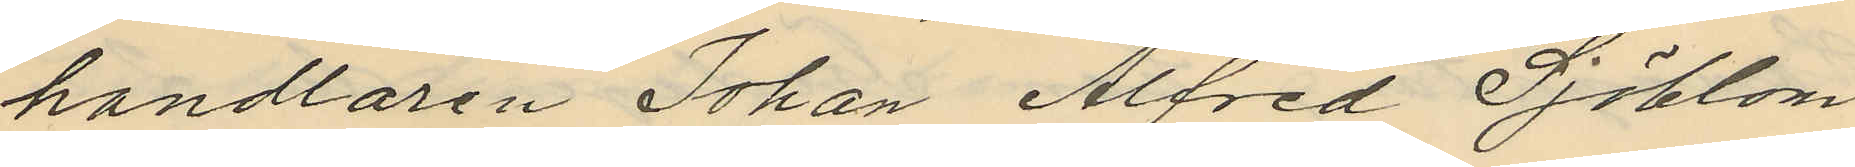handlaren Johan Alfred Sjöblom
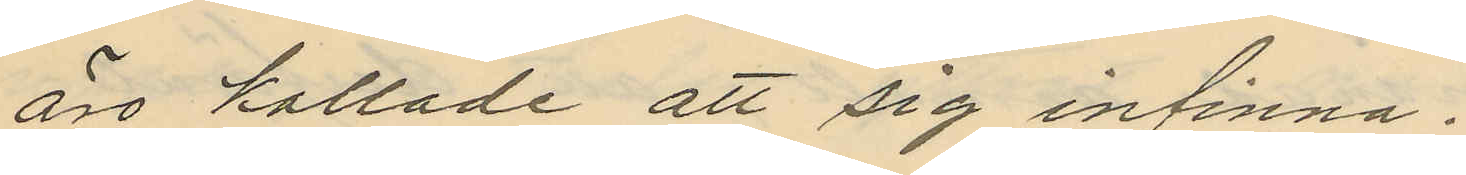äro kallade att sig infinna.
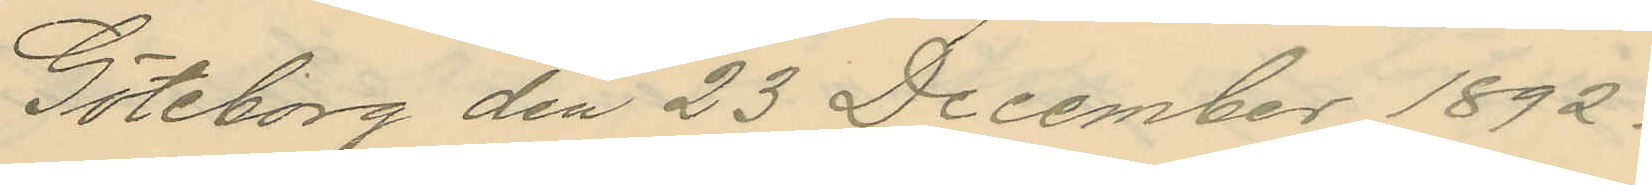Göteborg den 23 December 1892.
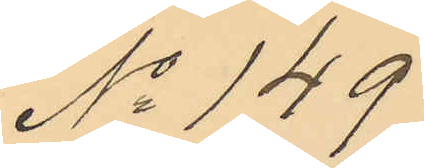No 149
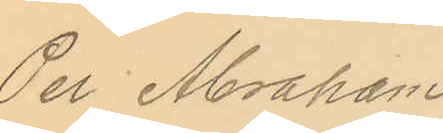Per Abraham
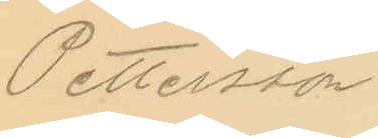Pettersson
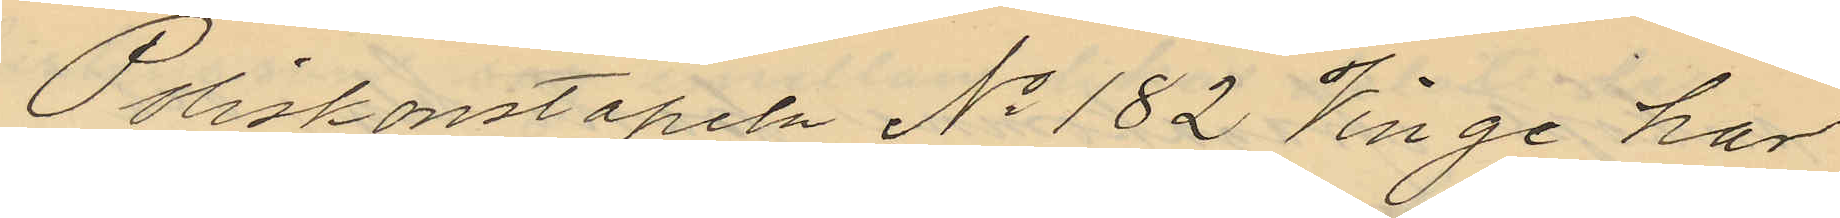Poliskonstapeln No 182 Vinge har
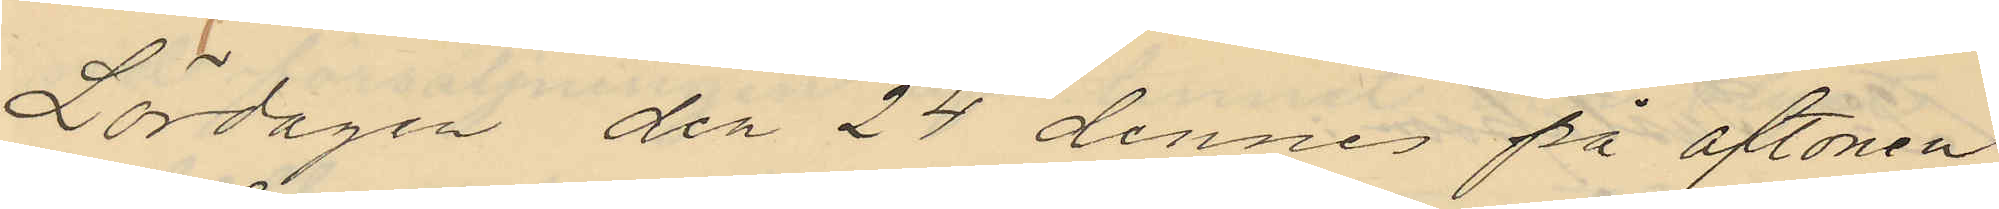Lördagen den 24 dennes på aftonen
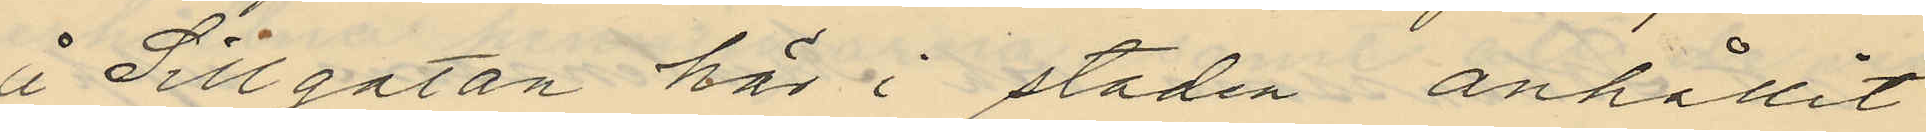å Sillgatan här i staden anhållit
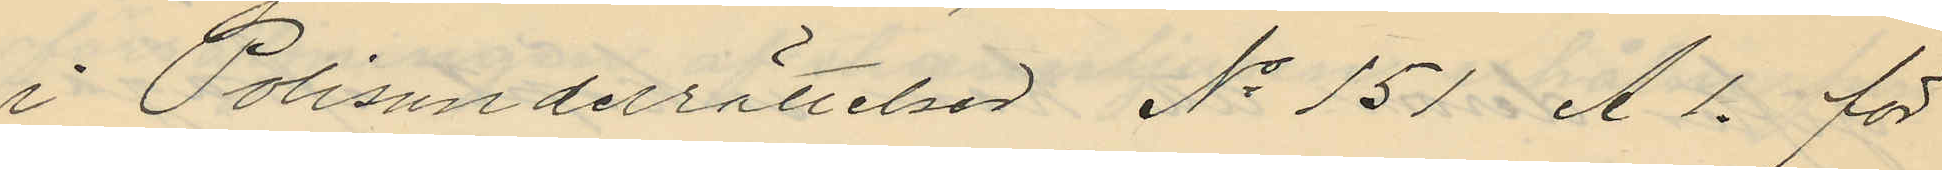i Polisunderrättelser No 151 A l. för
